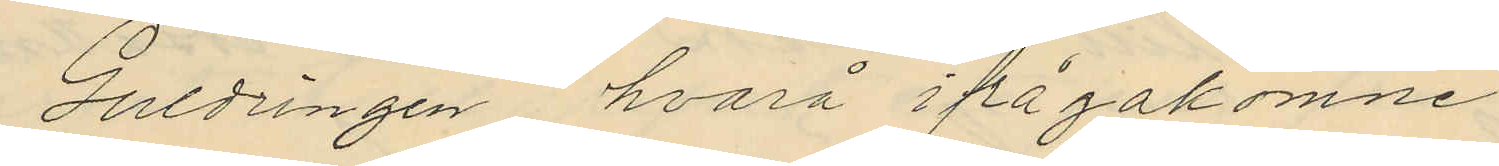Guldringen hvarå ifrågakomne
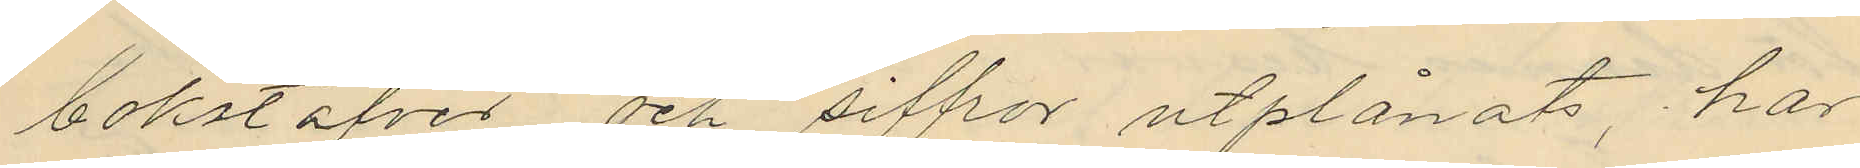bokstäfver och siffor utplånats, har
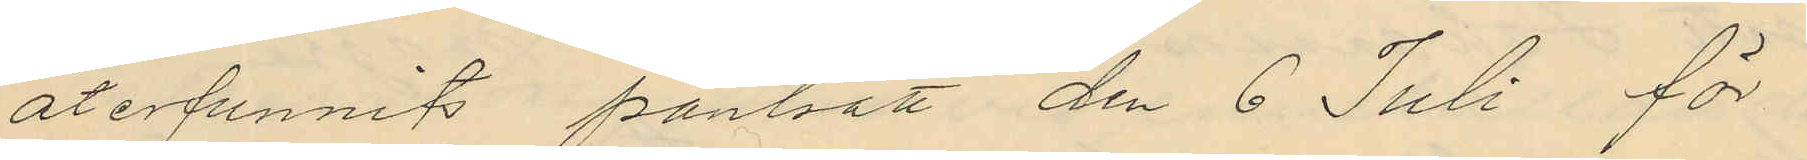återfunnits pantsatt den 6 Juli för
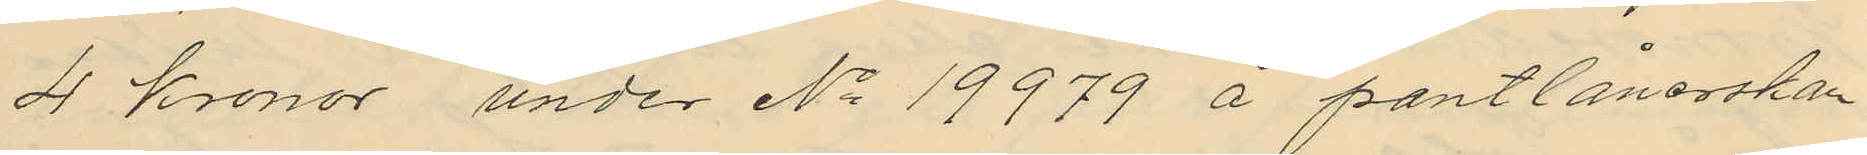4 Kronor under No 19979 å pantlånerskan
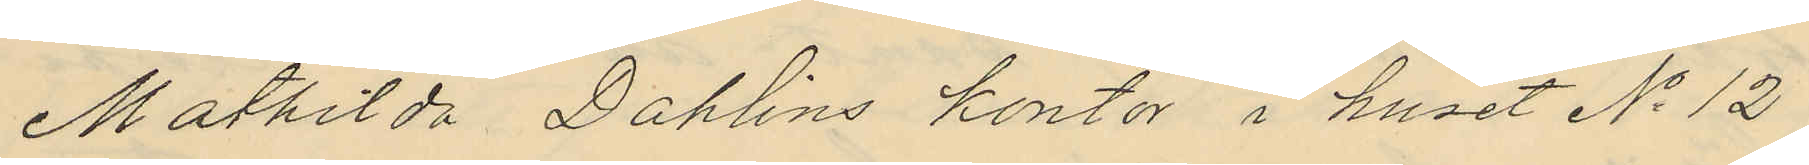Mathilda Dahlins kontor i huset No 12
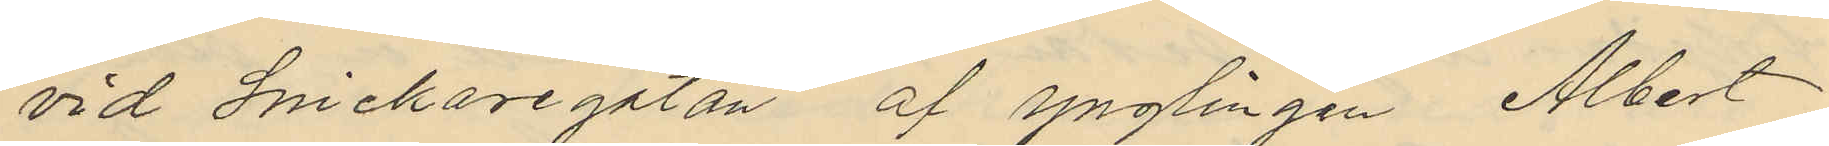vid Snickaregatan af ynglingen Albert
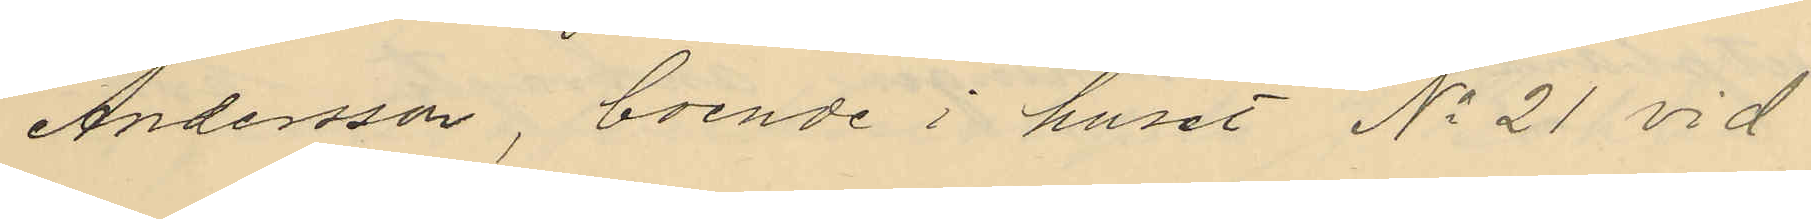Andersson, boende i huset No 21 vid
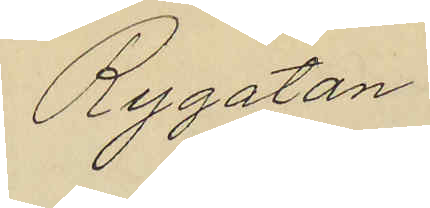Rygatan.
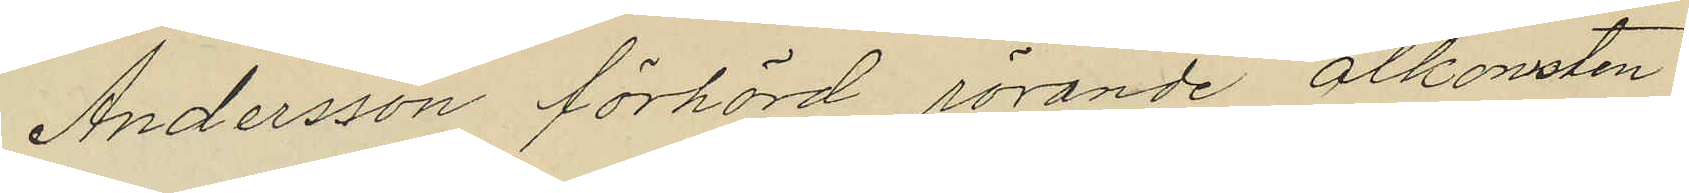Andersson förhörd rörande åtkomsten
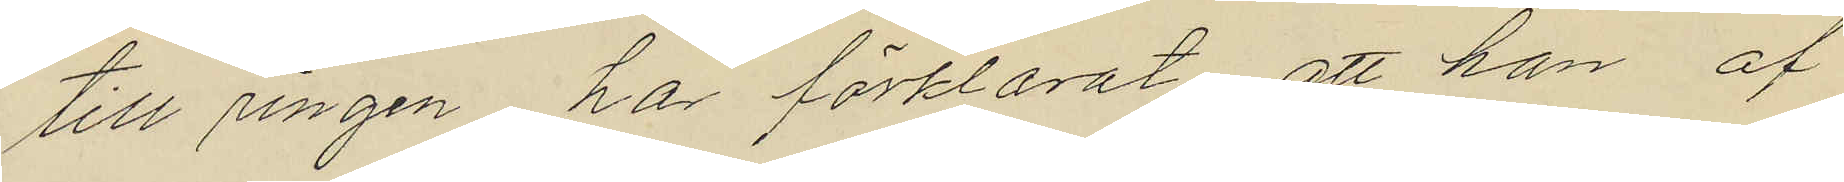till ringen har förklarat, att han af
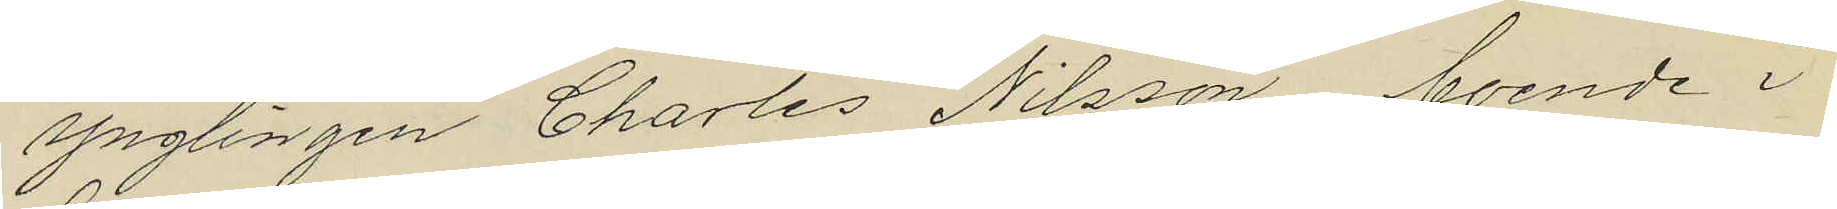ynglingen Charles Nilsson, boende i
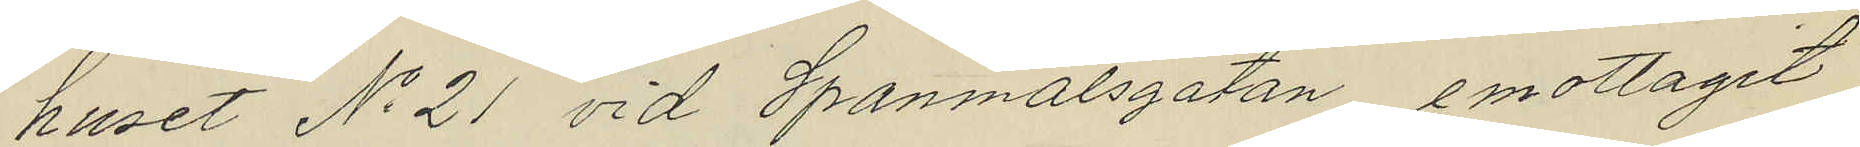huset No 21 vid Spanmålsgatan, emottagit
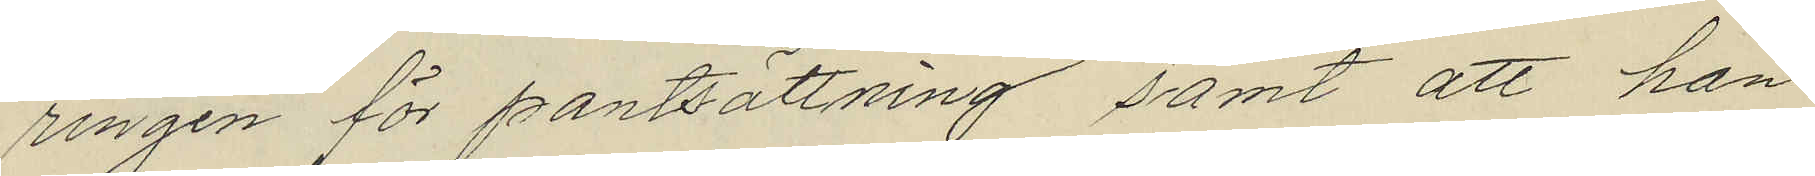ringen för pantsättning samt att han
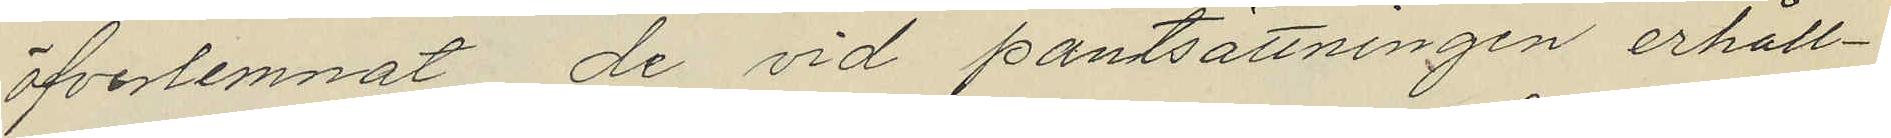öfverlemnat de vid pantsättningen erhåll¬
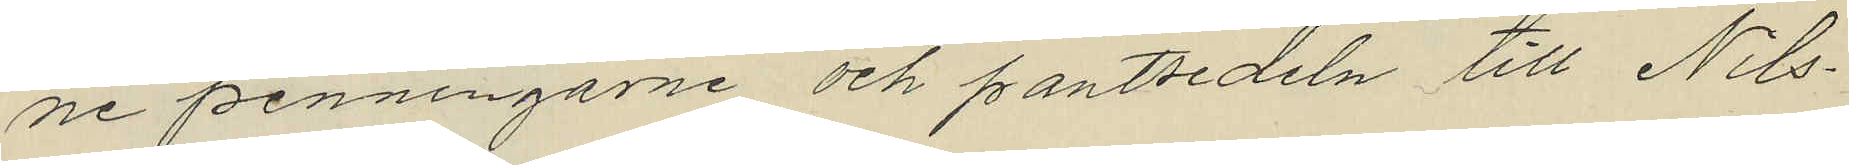ne penningarne och pantsedeln till Nils¬
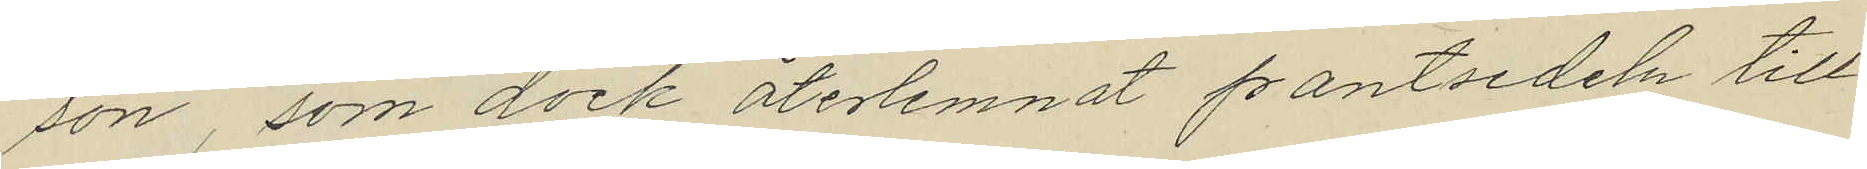son, som dock återlemnat pantsedeln till
